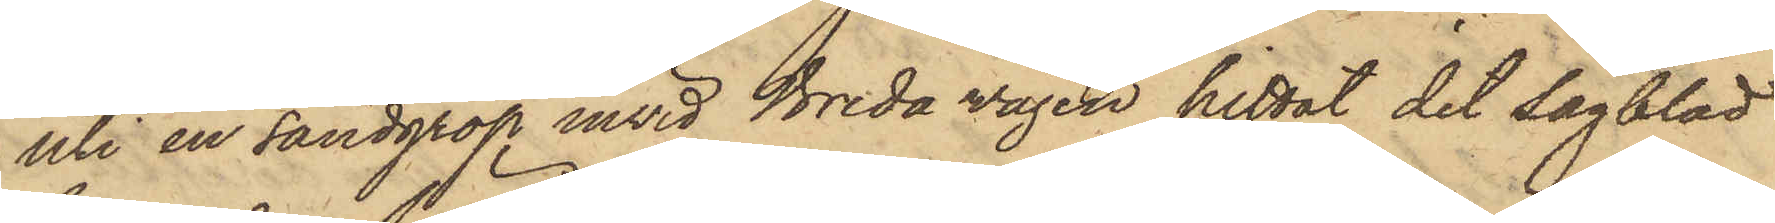uti en sandgrop invid Breda vägen hittat det sågblad
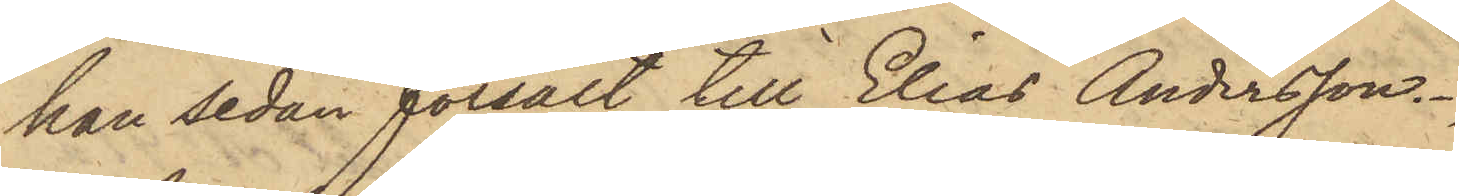han sedan försålt till Elias Andersson.
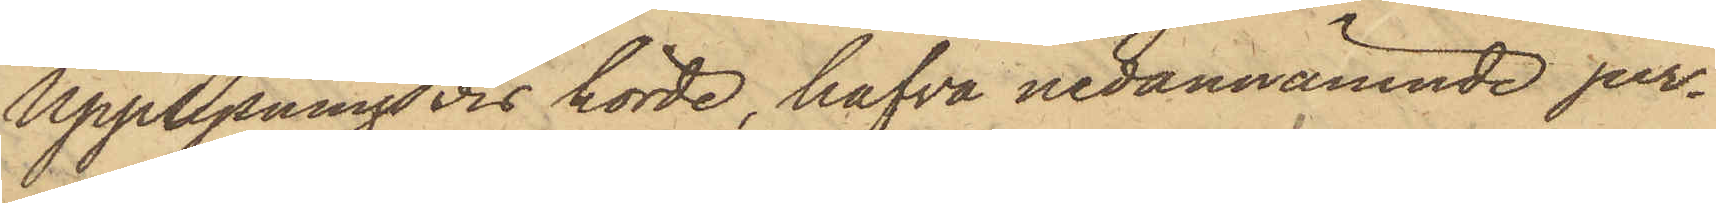Upplysningsvis hörde, hafva nedannämnde per¬
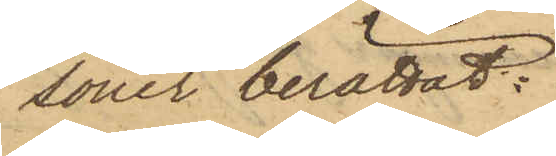soner berättat:
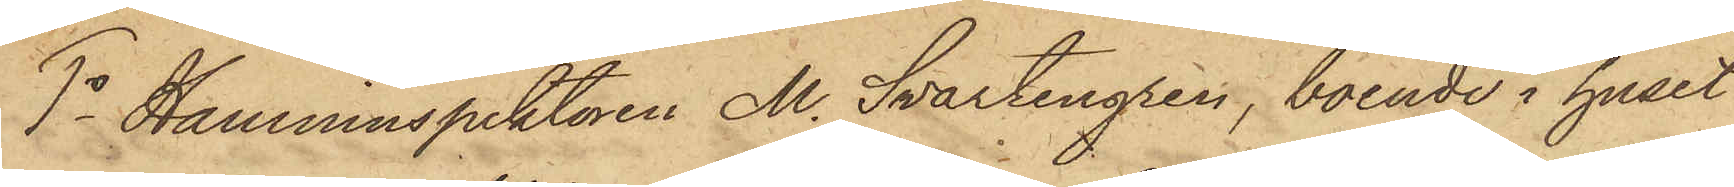1o Hamninspektoren M. Svartengren, boende i huset
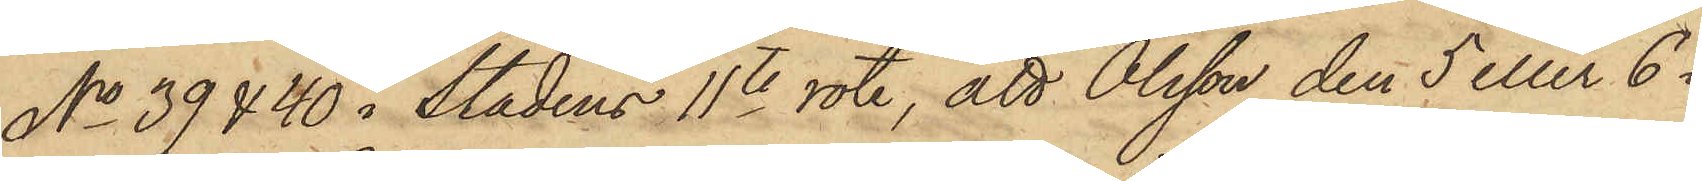No 39 & 40 i Stadens 11te rote, att Olsson den 5 eller 6 i
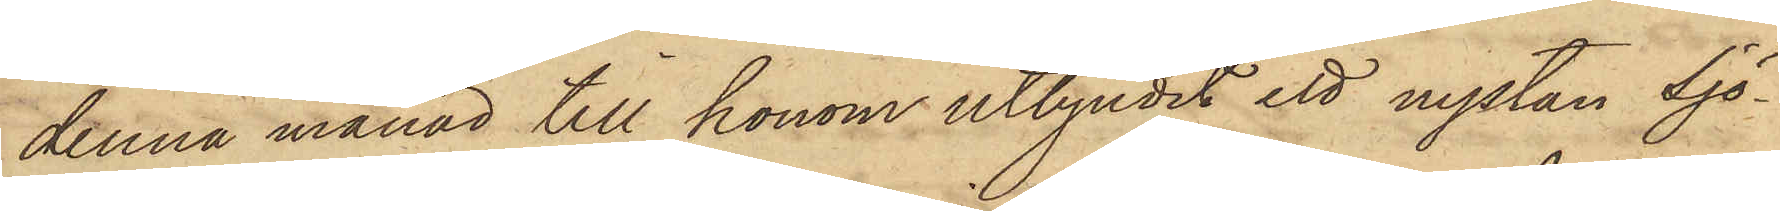denna månad till honom utbjudit ett nystan Sjö¬
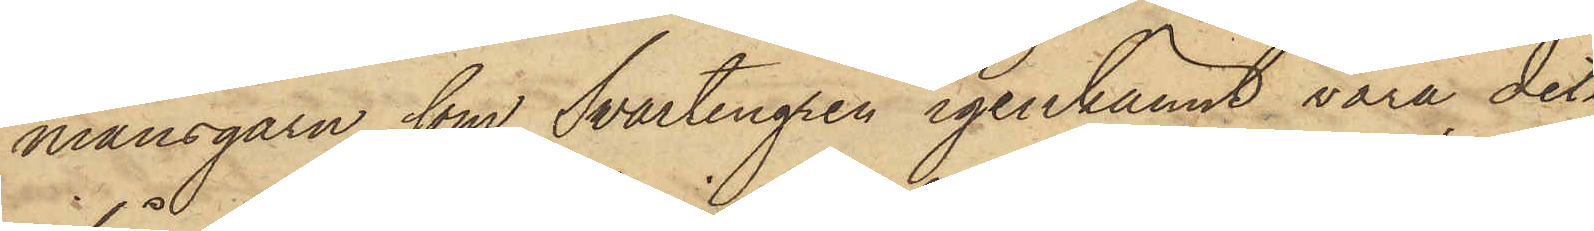mansgarn, som Svartengren igenkännt vara det
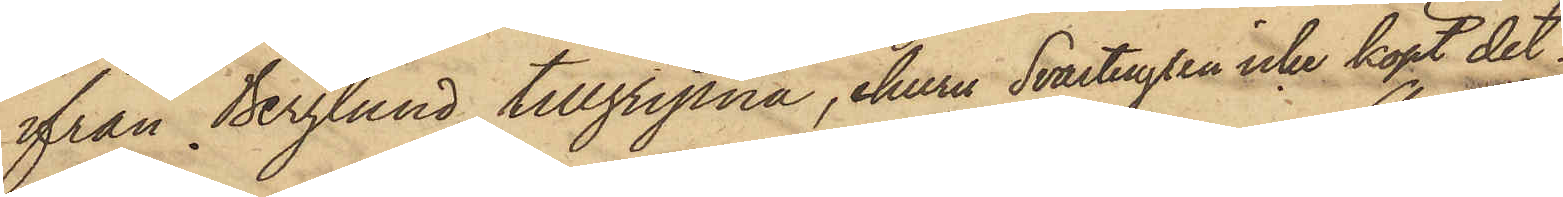ifrån Berglund tillgripna, ehuru Svartengren icke köpt det.
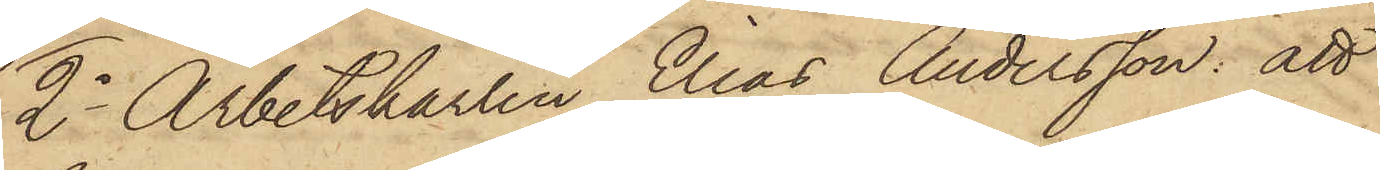2o Arbetskarlen Elias Andersson att
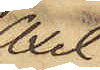Axel
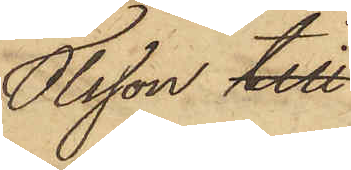Olsson till
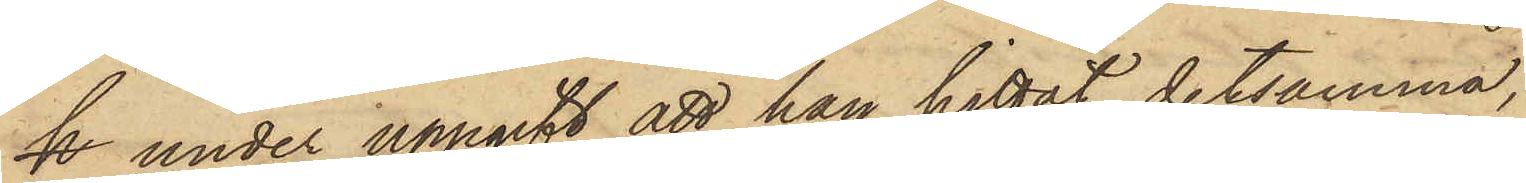h under uppgift att han hittat detsamma,
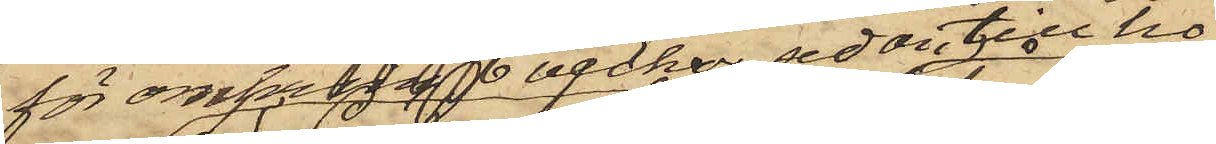för omkring 6 veckor sedan till ho¬
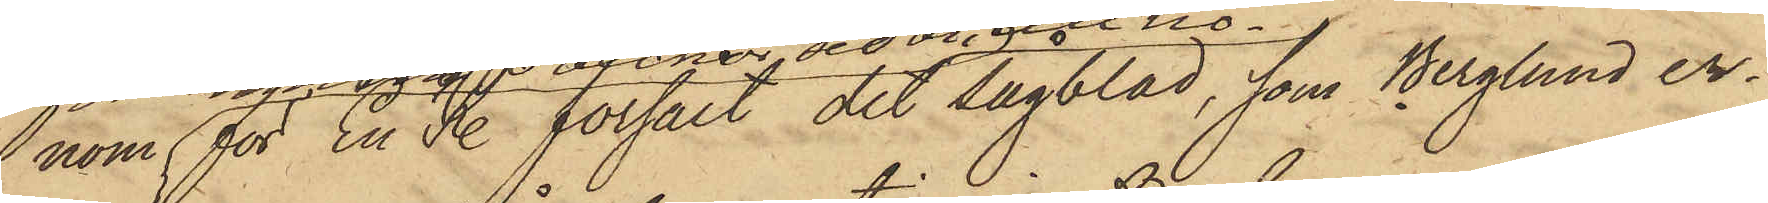nom för En R. försålt det sågblad, som Berglund er¬
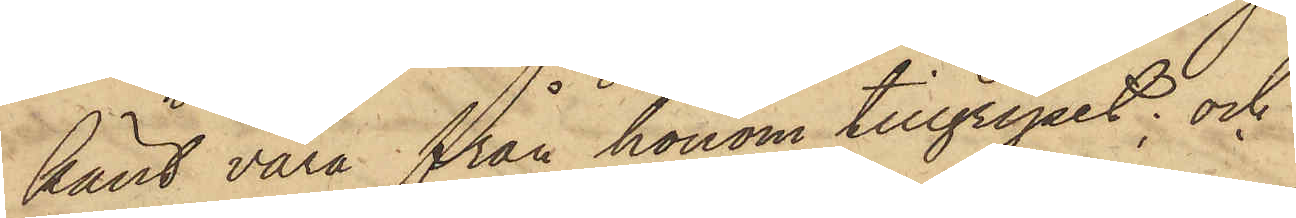känt vara från honom tillgripit; och
